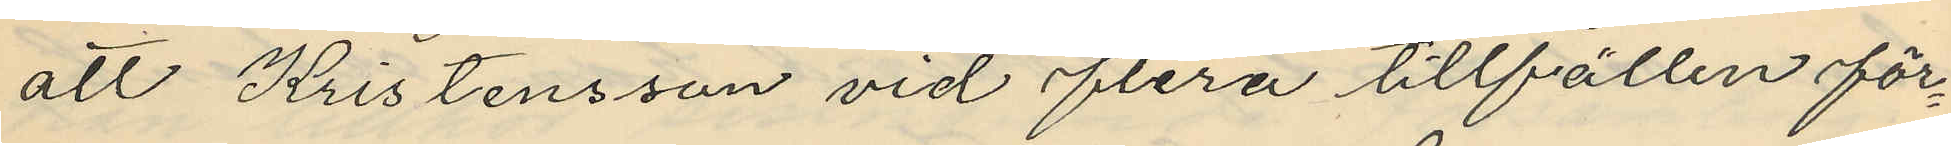att Kristensson vid flera tillfällen för¬
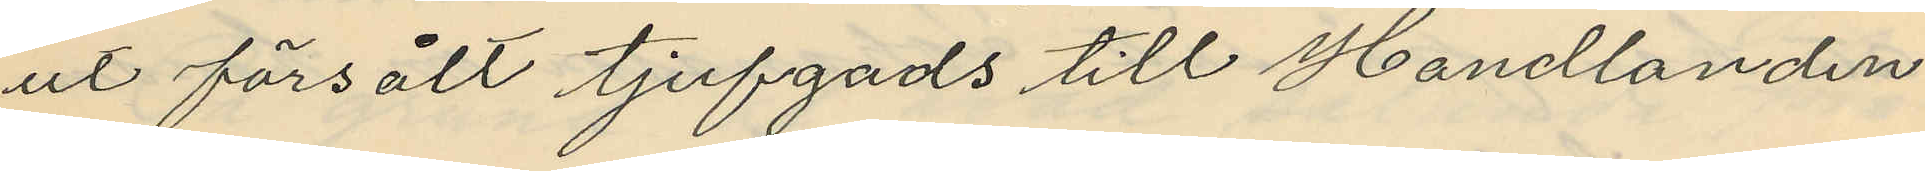ut försålt tjufgods till Handlanden
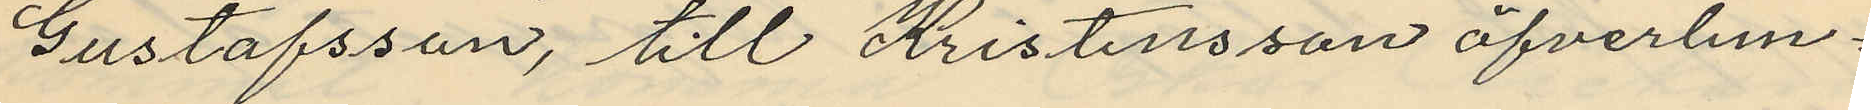Gustafsson, till Kristensson öfverlem¬
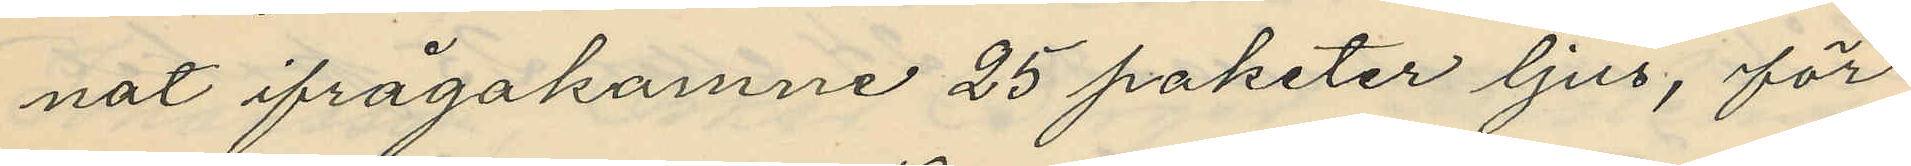nat ifrågakomne 25 paketer ljus, för
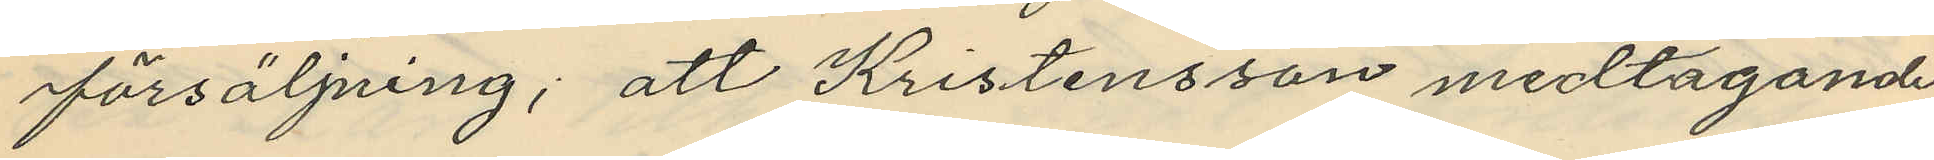försäljning; att Kristensson medtagande
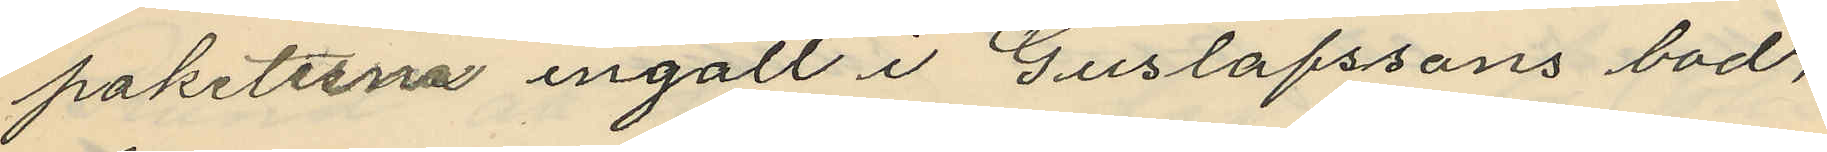paketerna ingatt i Gustafssons bod,
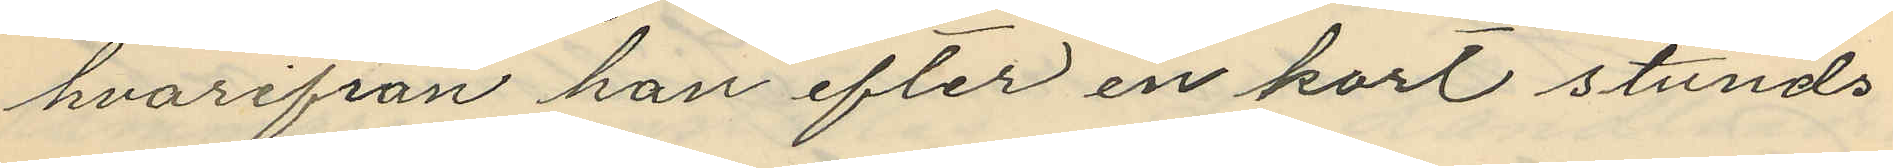hvarifrån han efter en kort stunds
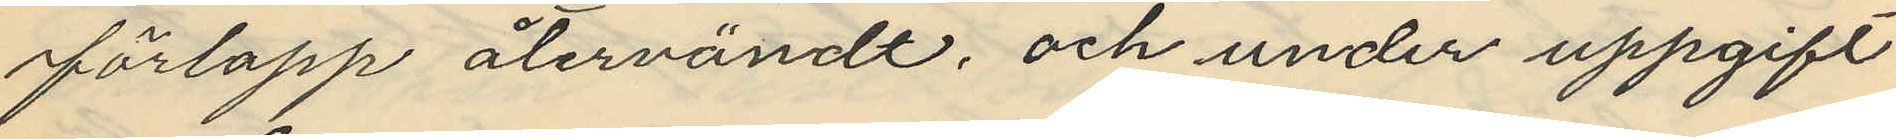förlopp återvändt, och under uppgift
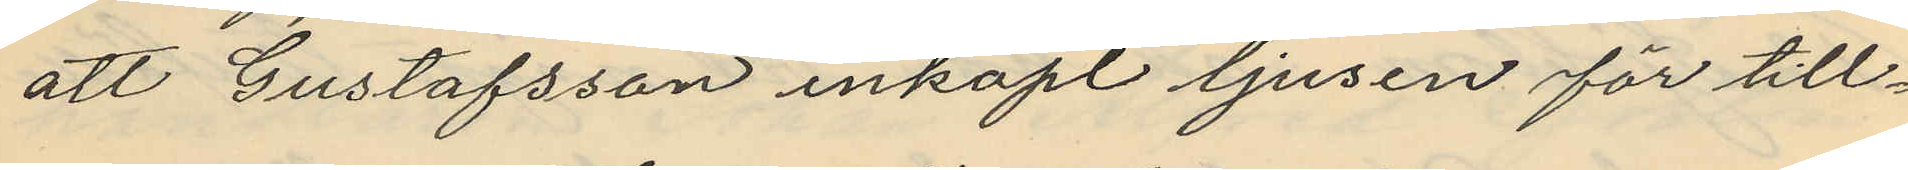att Gustafsson inköpt ljusen för till¬
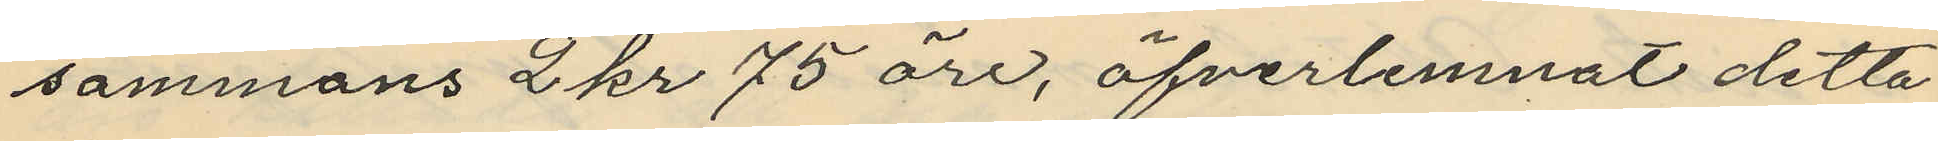sammans 2 kr 75 öre, öfverlemnat detta
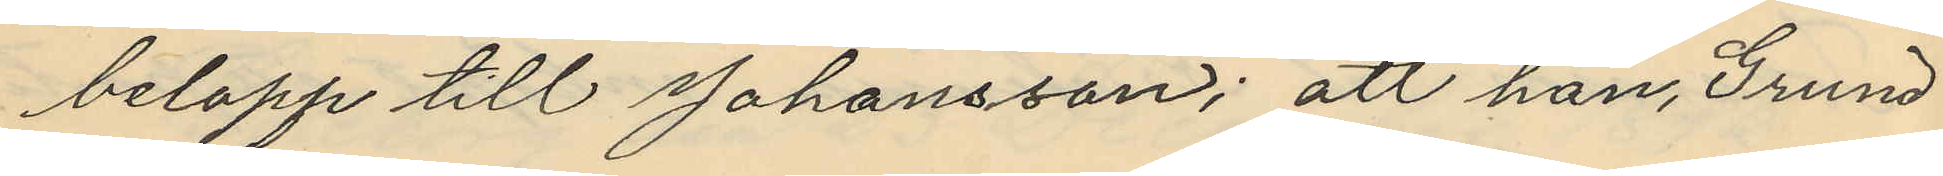belopp till Johansson; att han, Grund
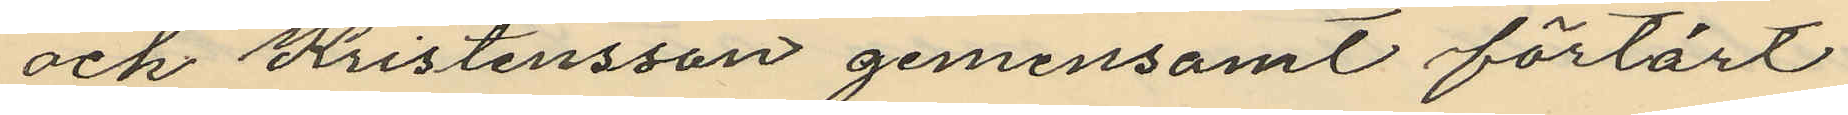och Kristensson gemensamt förtärt
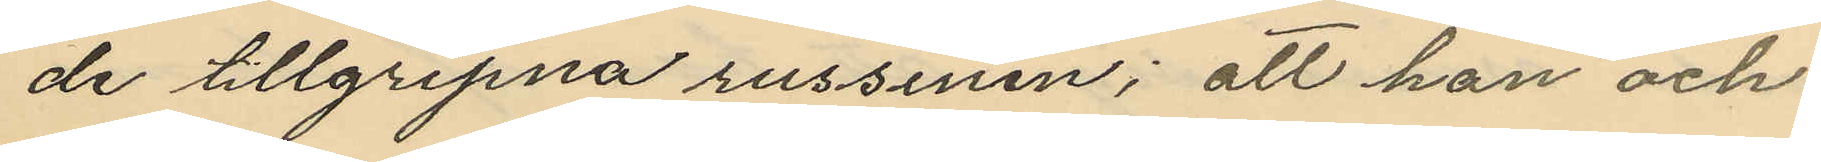de tillgripna russinen; att han och
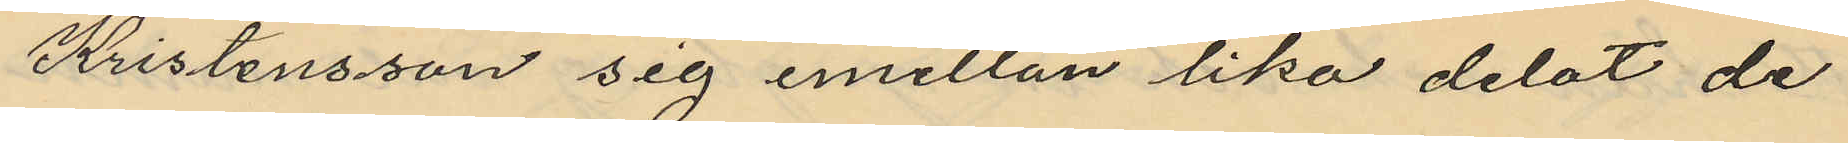Kristensson sig emellan lika delat de
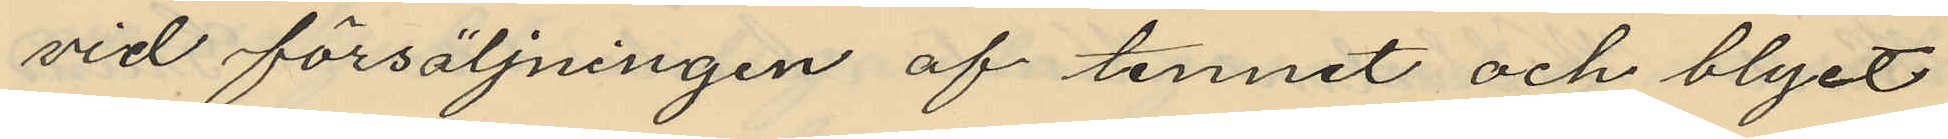vid försäljningen af tennet och blyet
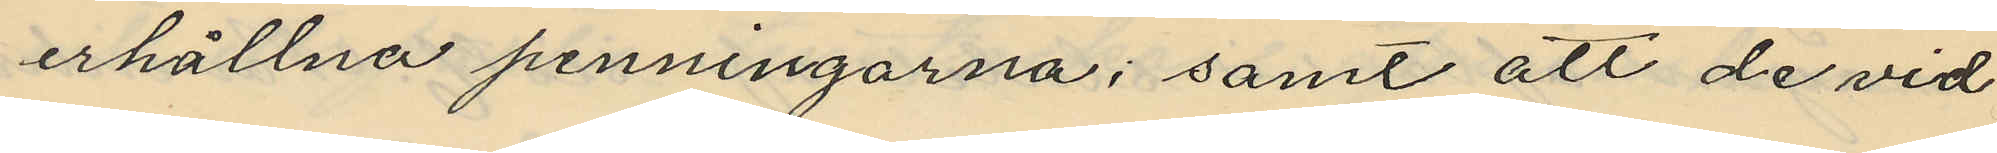erhållna penningarna; samt att de vid
